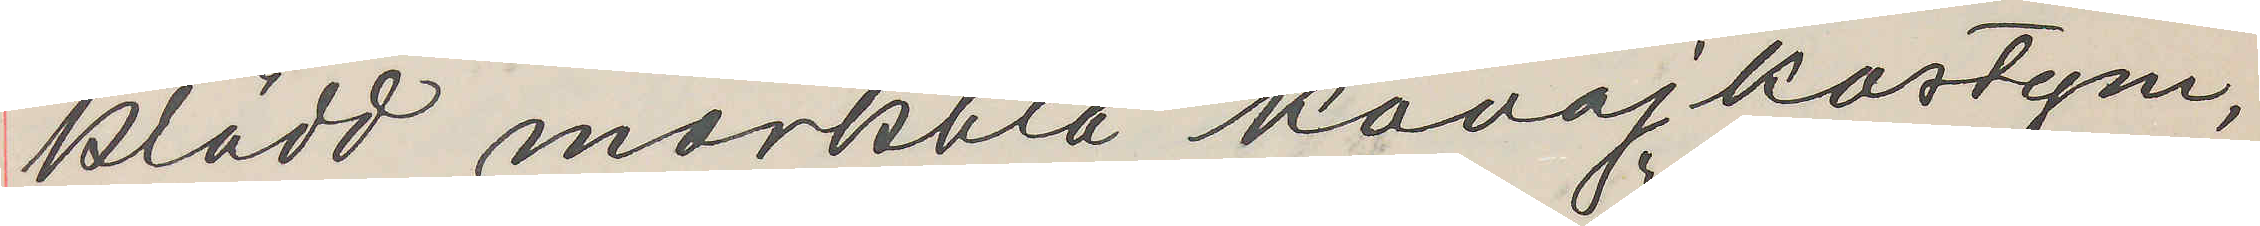klädd mörkblå kavajkostym,
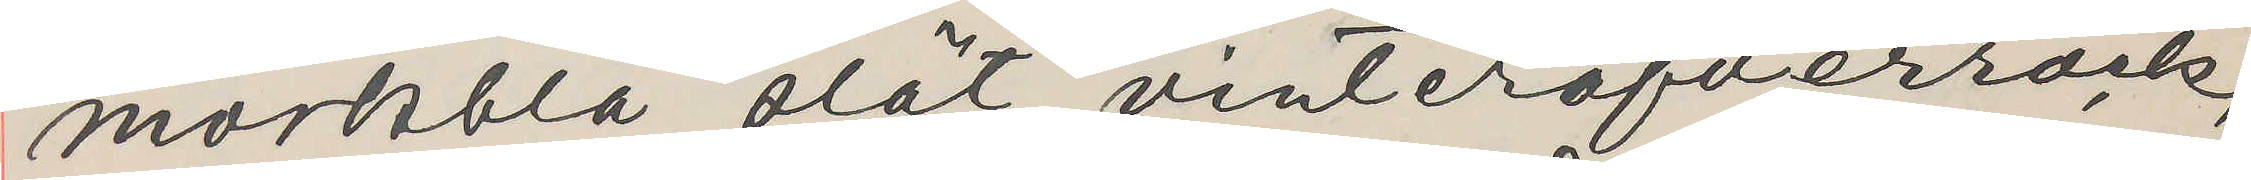mörkblå slät vinteröfverrock,
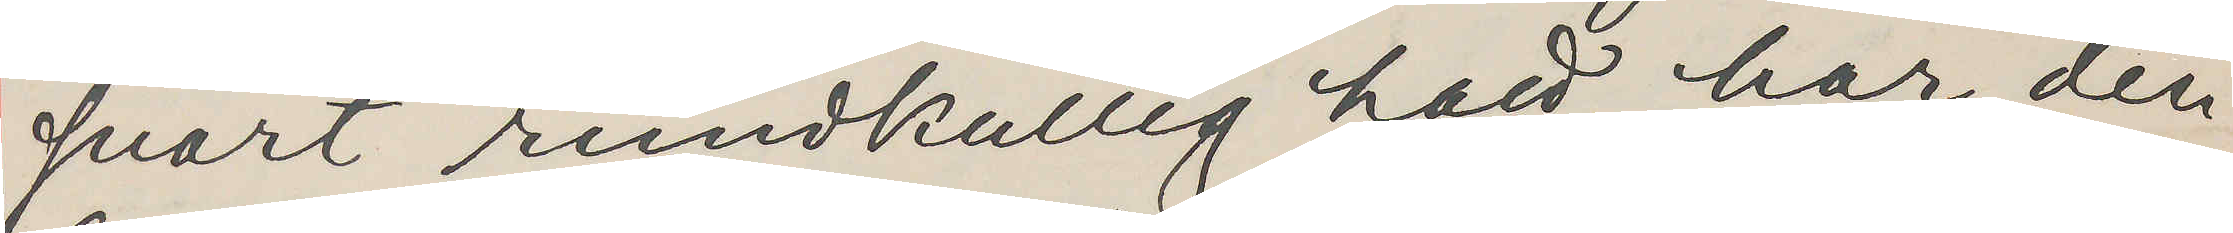svart rundkullig hatt, har den
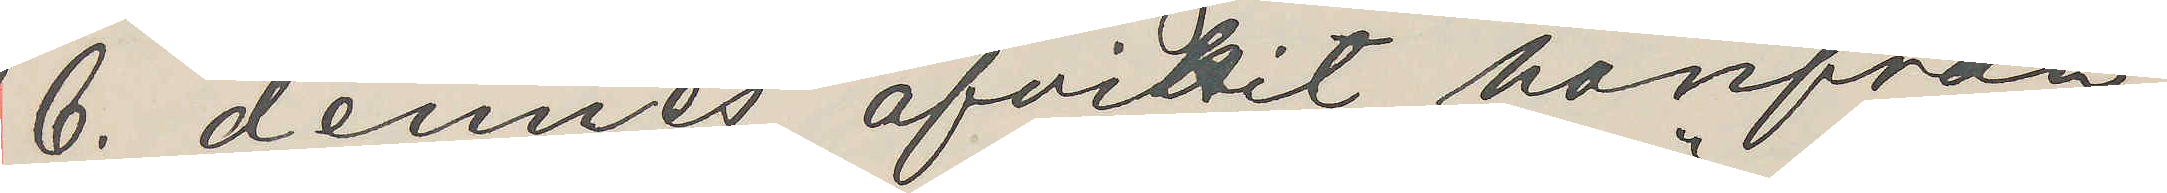6 dennes afvikit härifrån,
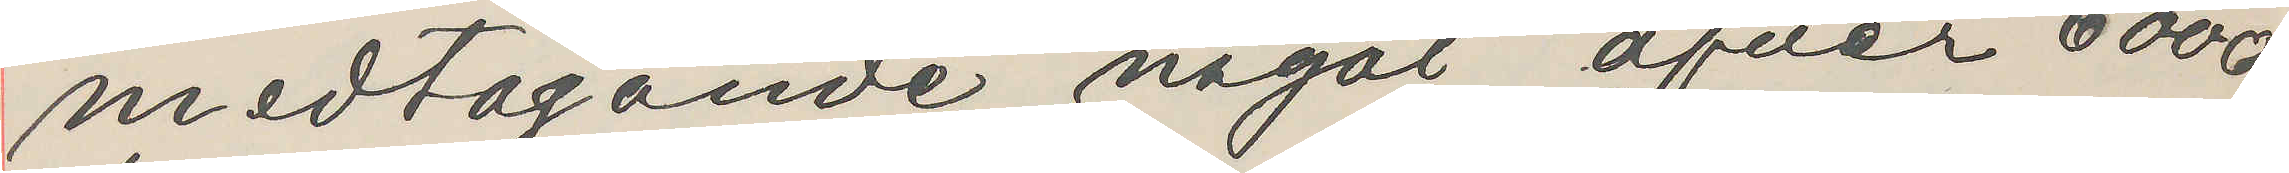medtagande något öfver 6000
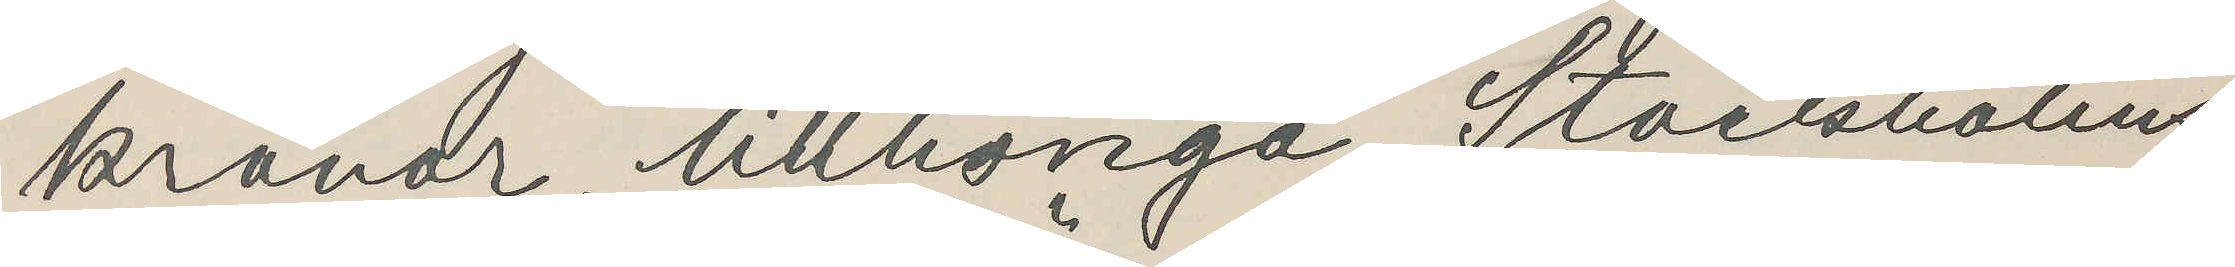kronor, tillhöriga Stockholms
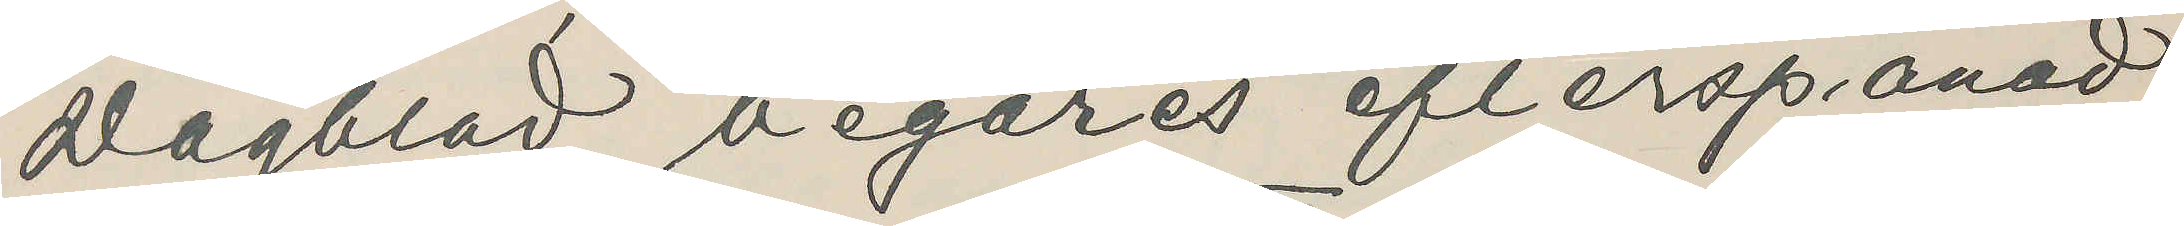Dagblad, begäres efterspanad,
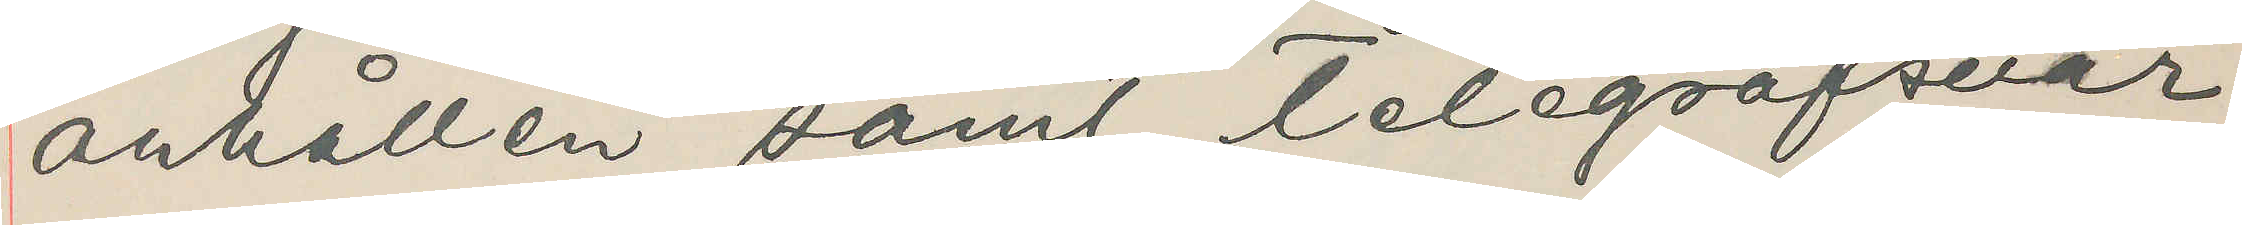anhållen samt telegrafsvar
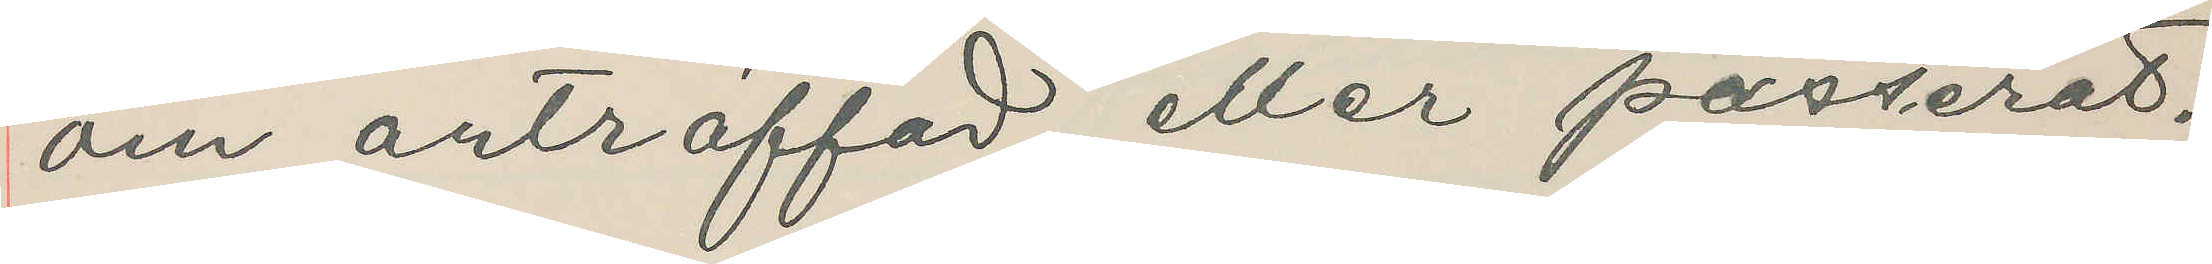om anträffad, eller passerat.
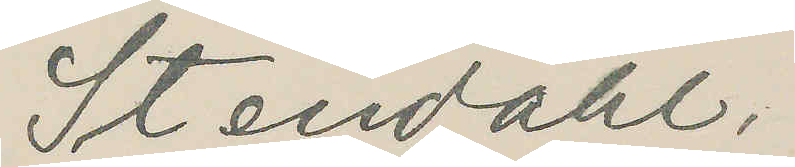Stendahl.
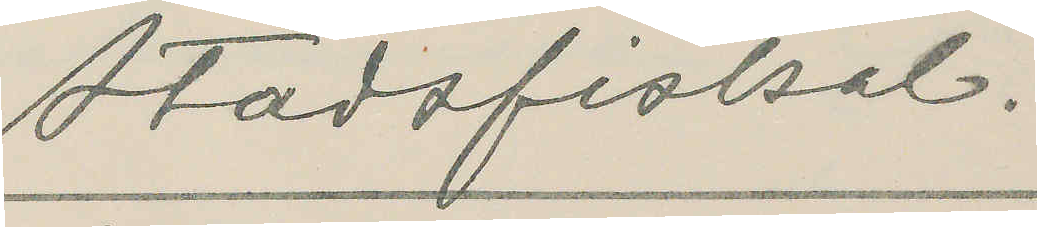Stadsfiskal.
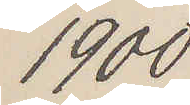1900
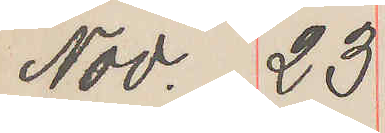Nov. 23
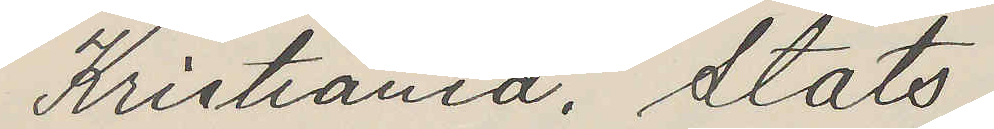Kristiania. Stats.
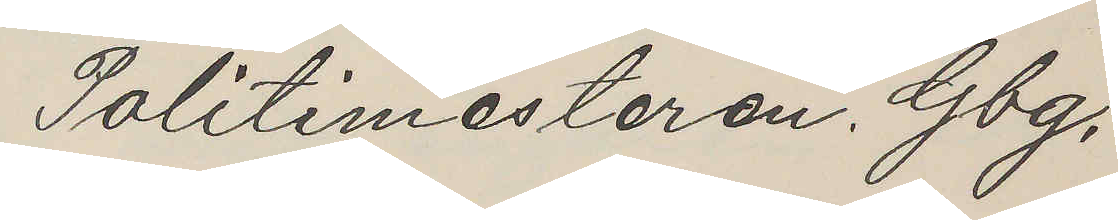Politimesteren. Gbg.
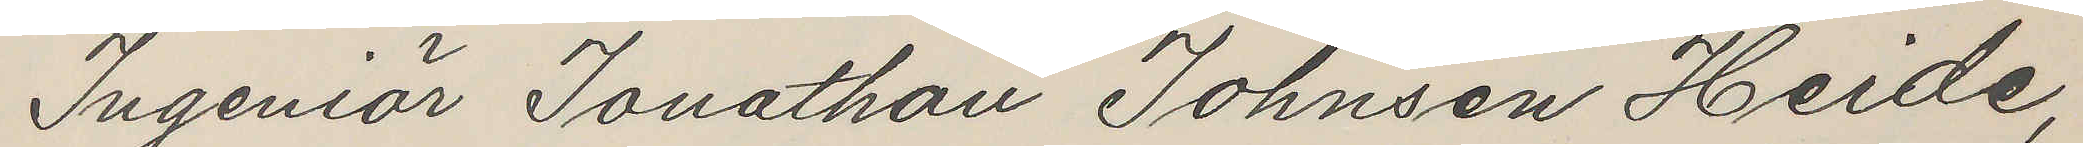Ingeniör Jonathan Johnsen Heide,
